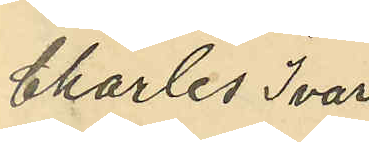Charles Ivar
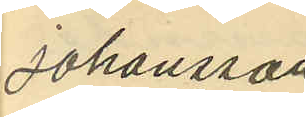Johansson
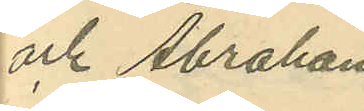och Abraham
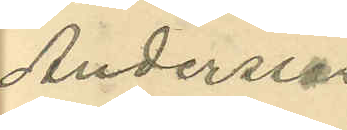Andersson.
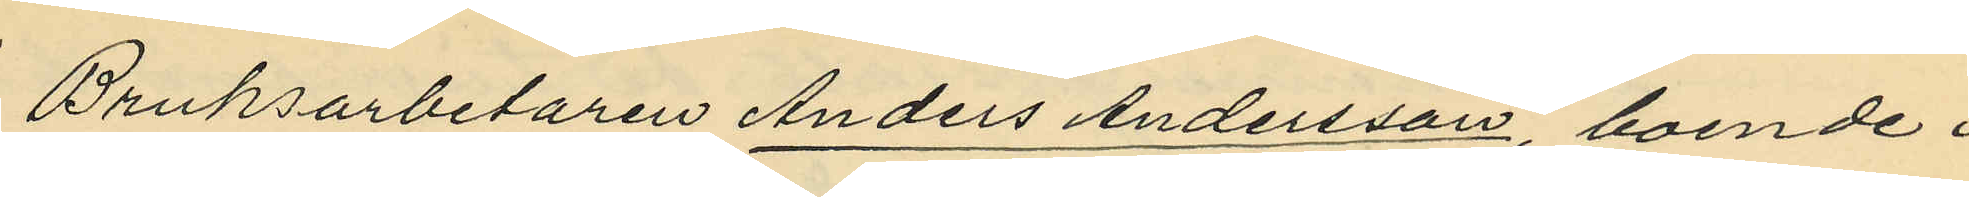Bruksarbetaren Anders Andersson, boende i
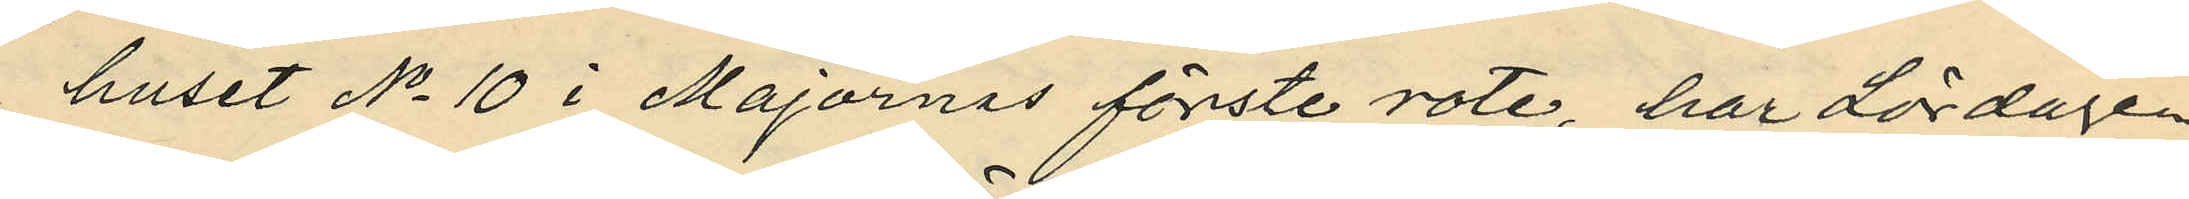huset No 10 i Majornas förste rote, har lördagen
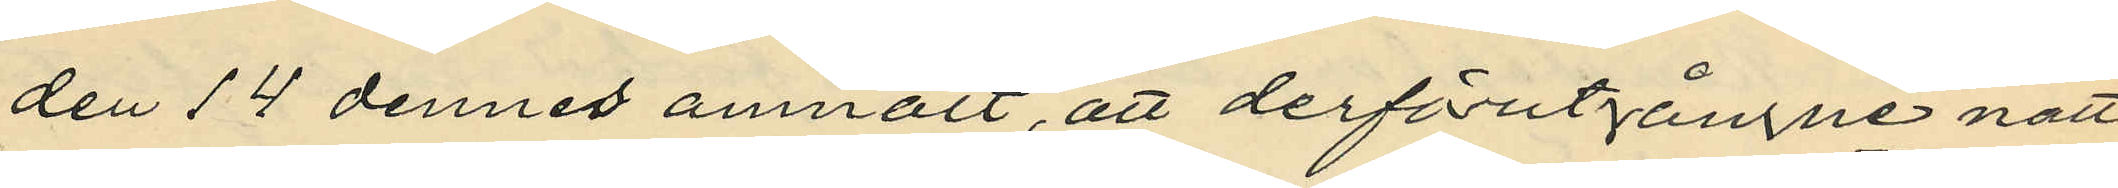den 14 dennes anmält, att derförutgångne natt
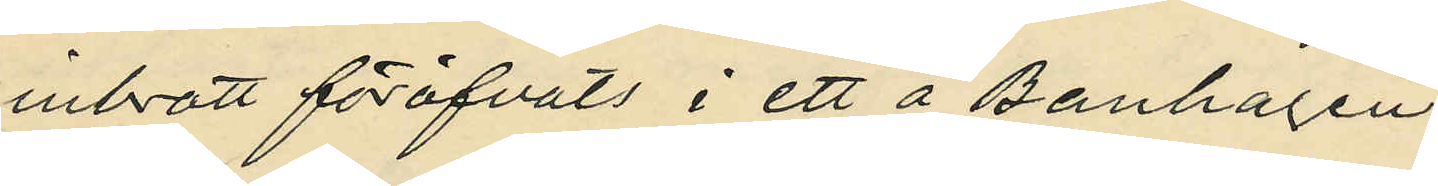inbrott föröfvats i ett å Banhagen
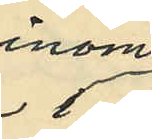inom
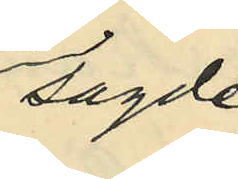sagde
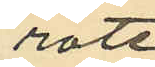rote
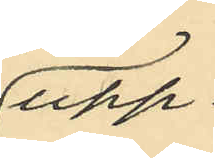upp¬
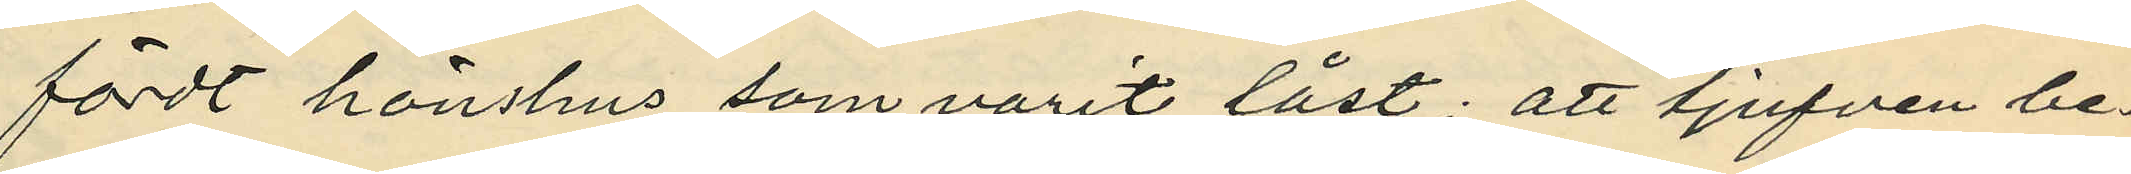fördt hönshus, som varit låst; att tjufven be¬
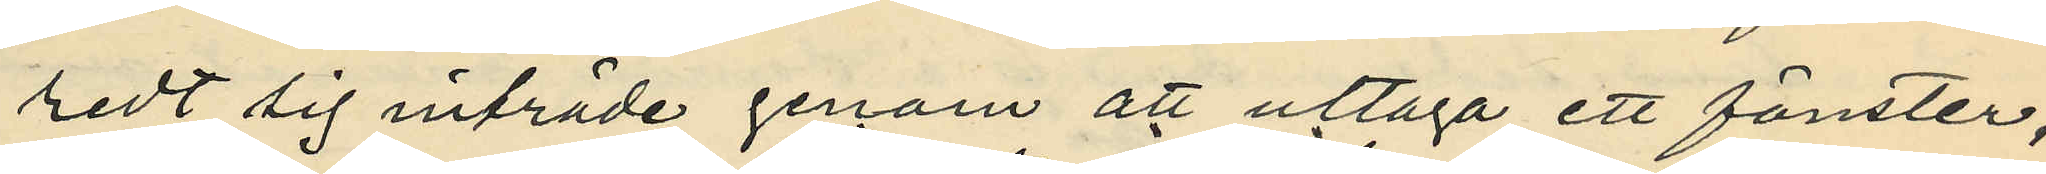redt sig inträde genom att uttaga ett fönster,
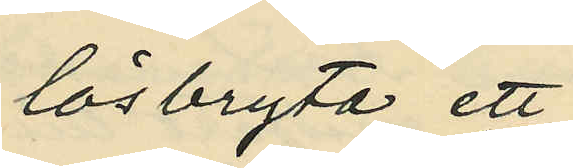lösbryta ett
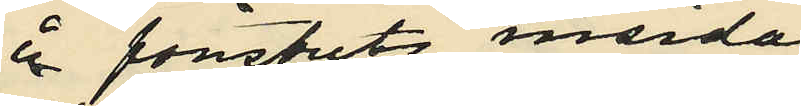å fönstrets insida
